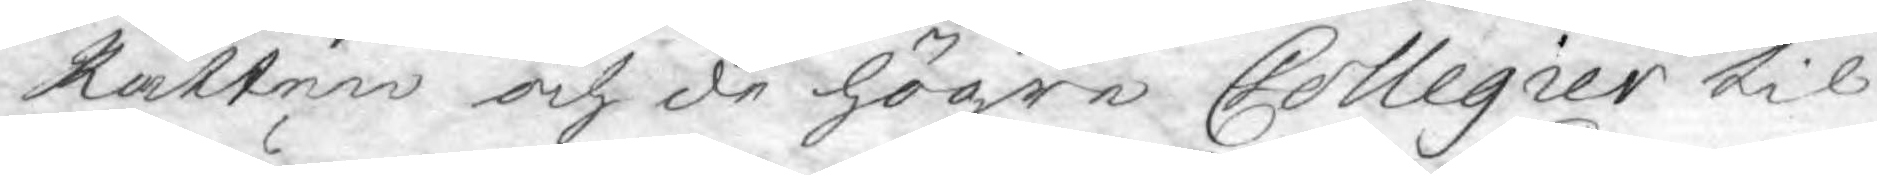Rätten och de högre Collegier til
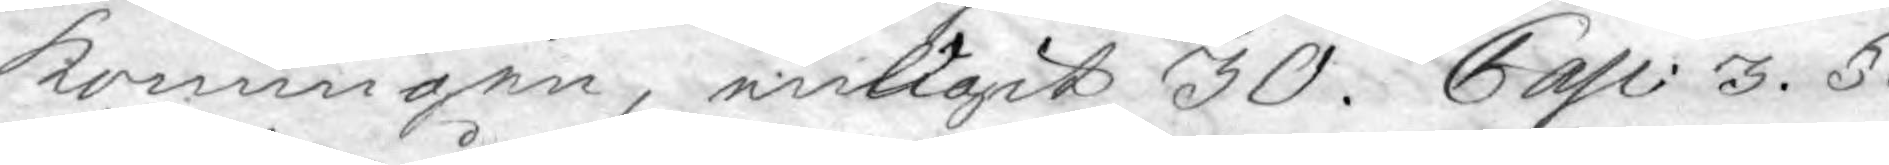Konungen, enligit 30. Cap: 3. §.
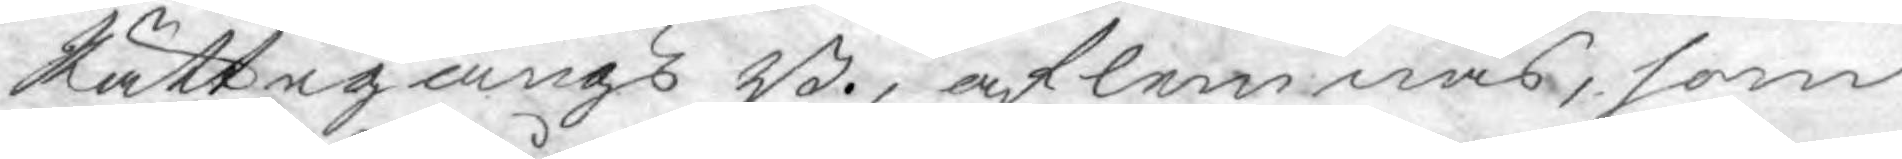Rättegångs B., aflemnas, som
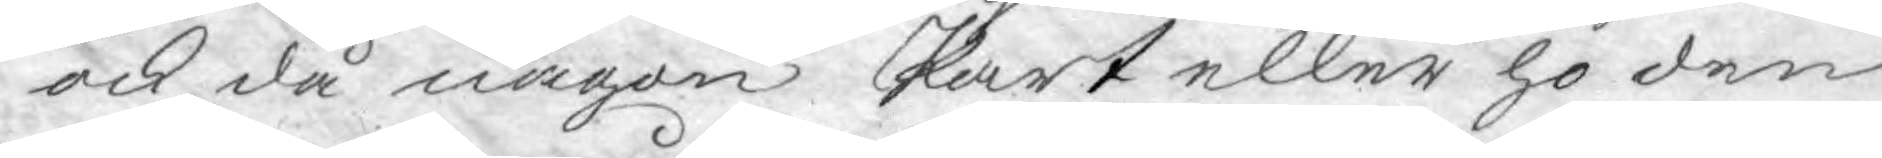ock då någon Part eller ho den
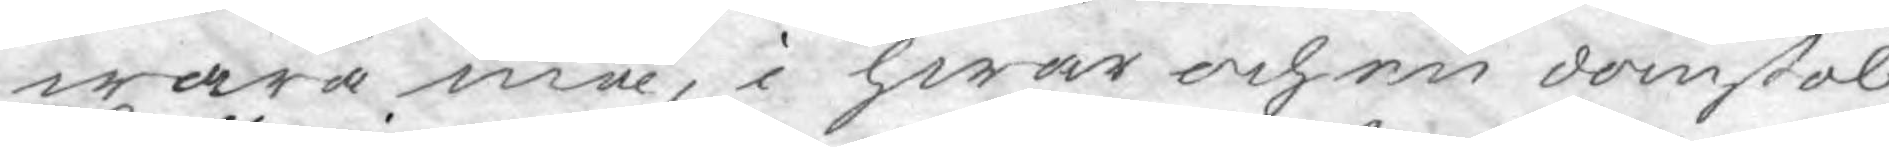wara må, i hwar och en domstol,
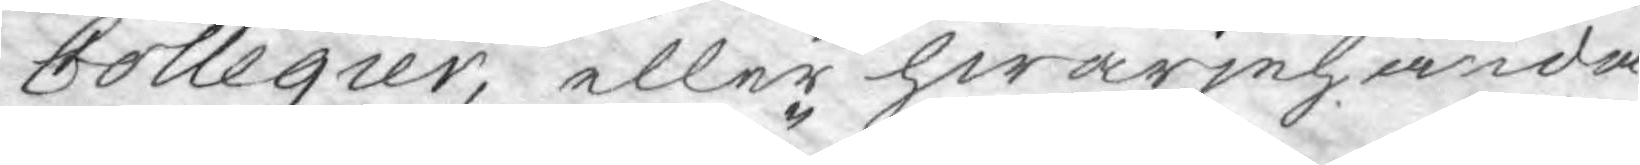Collegier, eller hwarjehanda
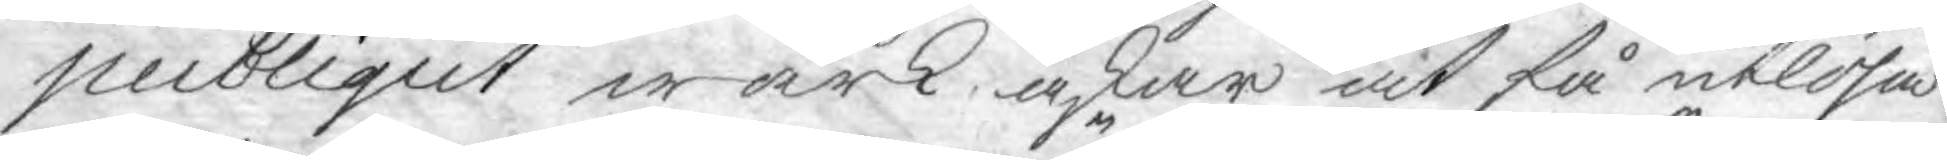publiqut wärk, äskar at få utlösa
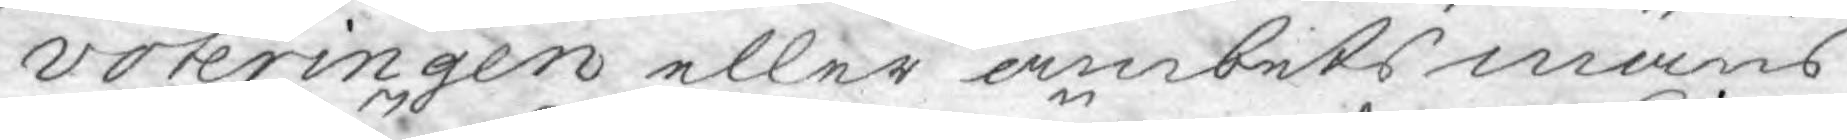voteringen eller ämbetsmäns
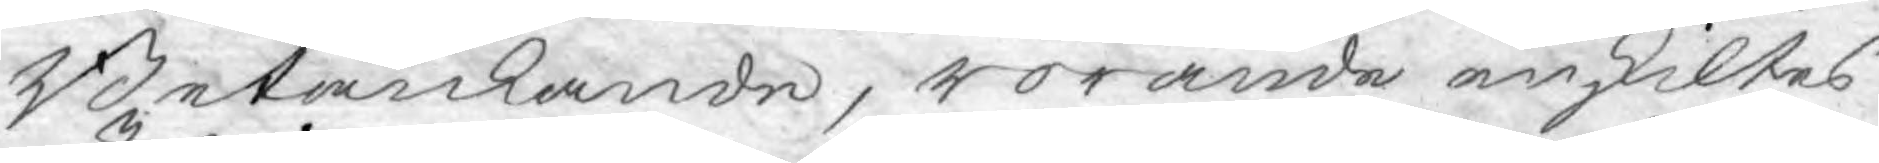Betänkande, rörande enskiltes
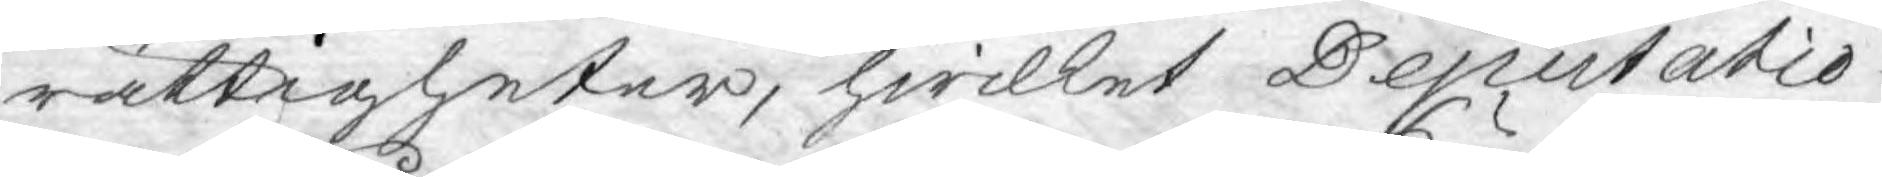rättigheter, hwilket Deputatio¬
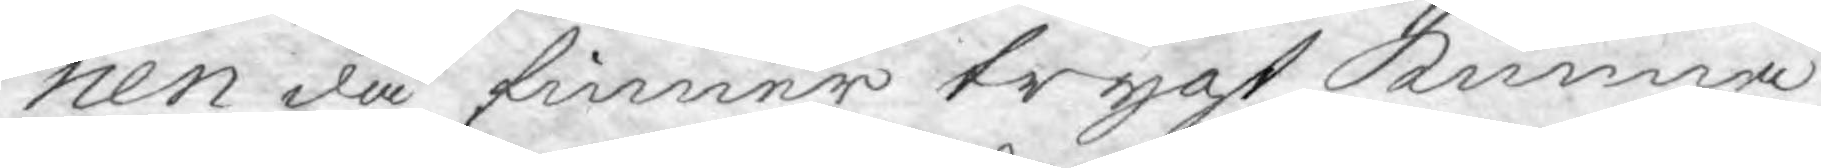nen då finner trygt kunna
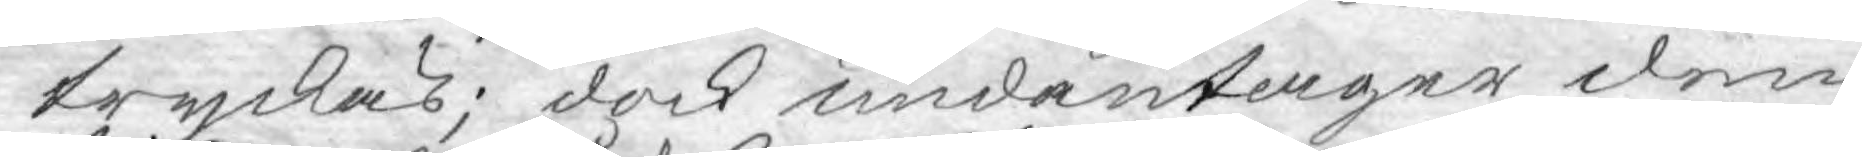tryckas; dock undantager den
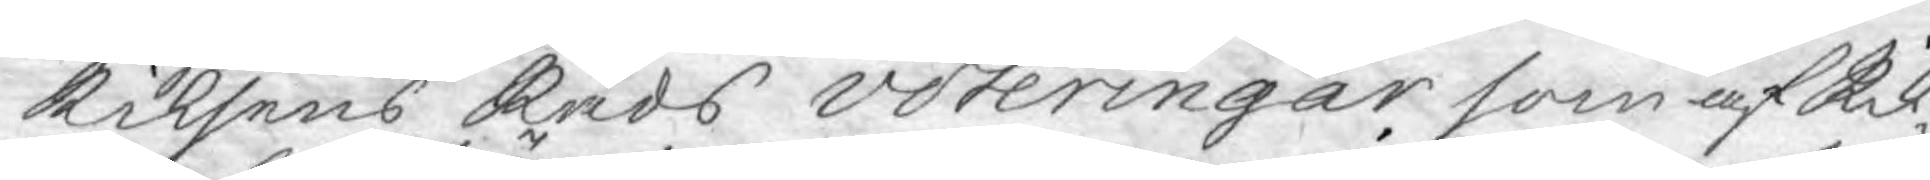Riksens Råds voteringar, som af Rik¬
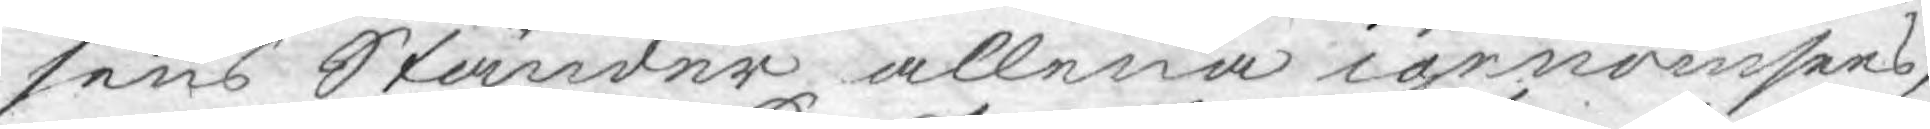sens Ständer allena igenomsees,
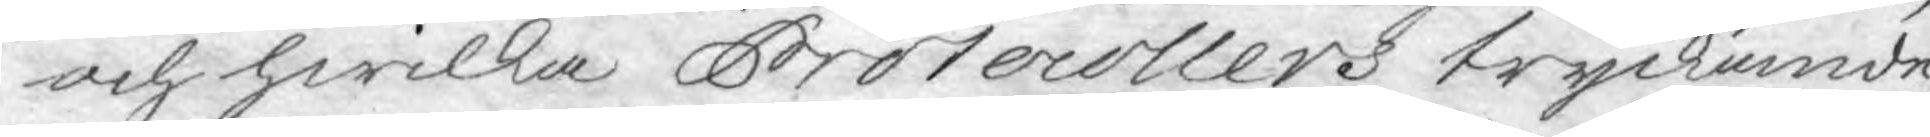och hwilka Protocollers tryckande,
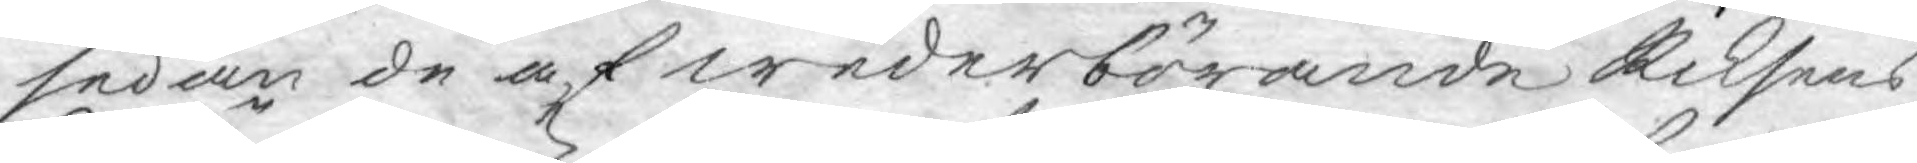sedan de af wederbörande Riksens
